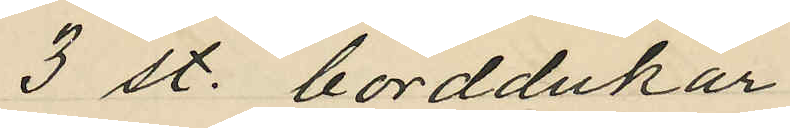3 st. borddukar
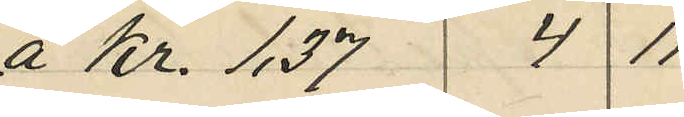á Kr. 1,37 4 11
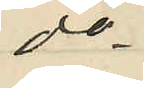do
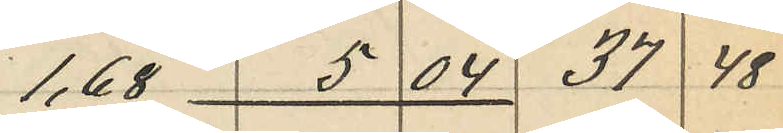1,68 5 04 37 48
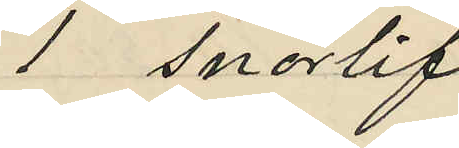1 snörlif
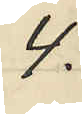4:
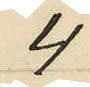4
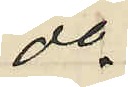do
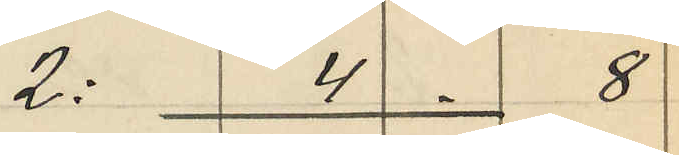2: 4 8
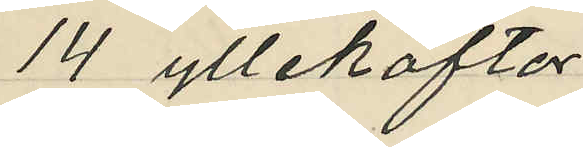14 yllekoftor
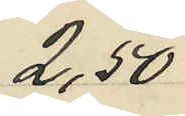2,50
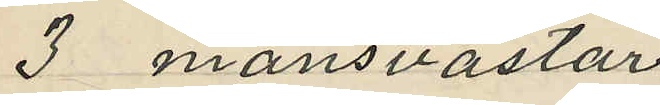3 mansvästar
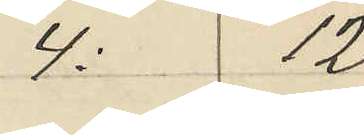4: 12
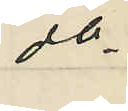do
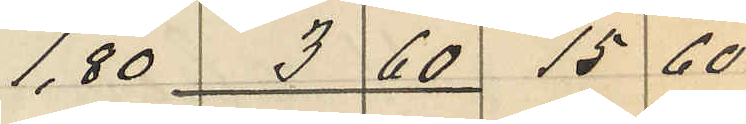1,80 3 60 15 60
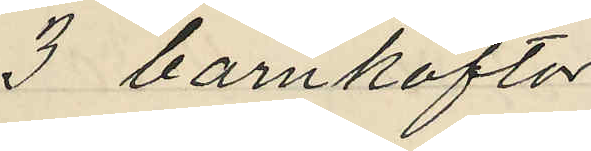3 barnkoftor
